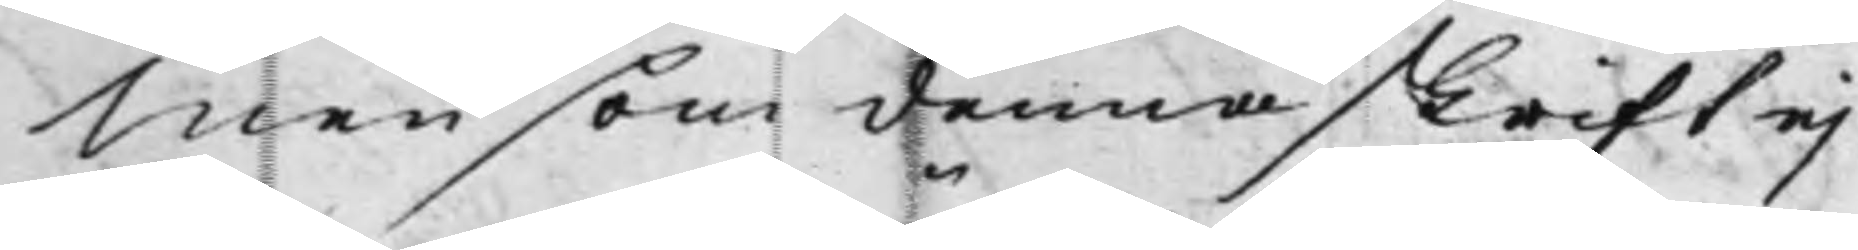Men som denna skrift ej
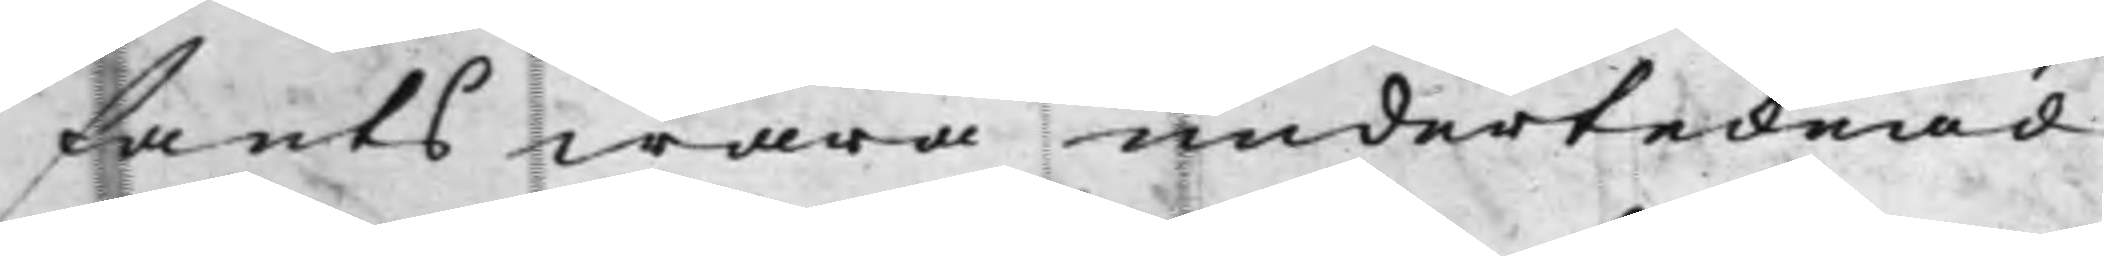fants wara undertecknad
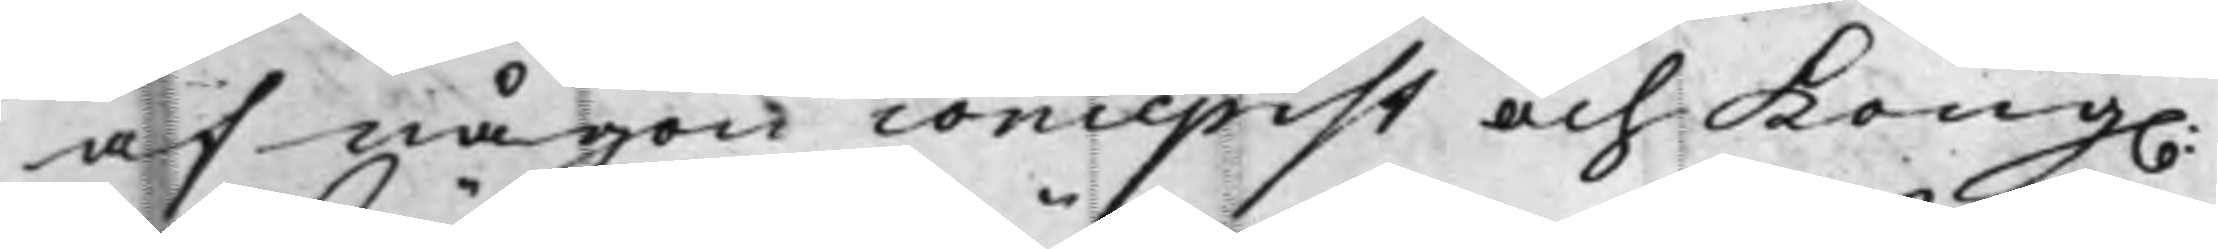af någon concepist och Kong.
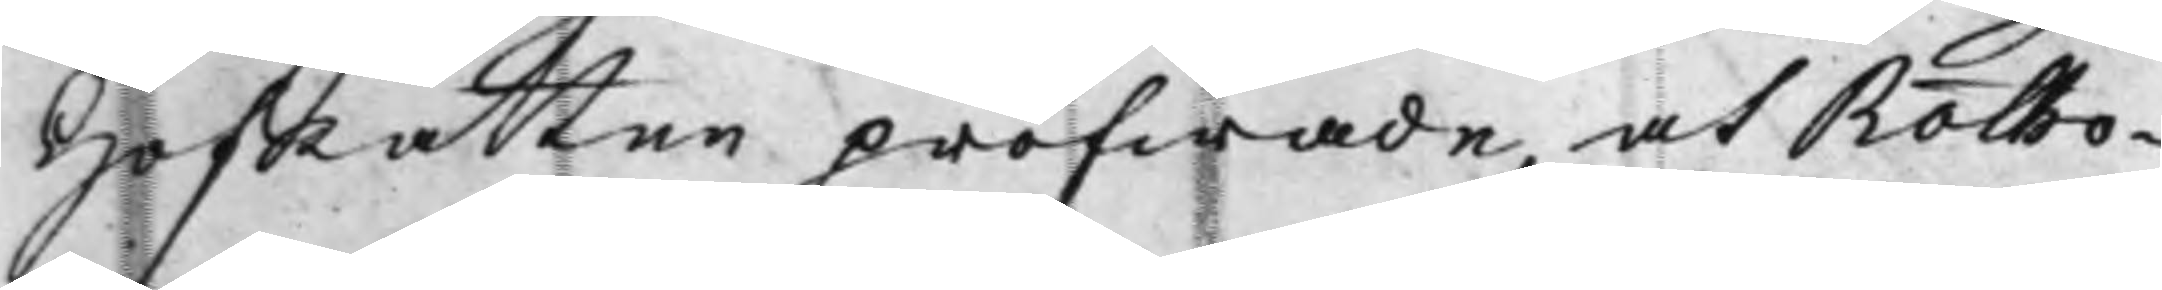HofRätten pröfwade, at Rotho¬
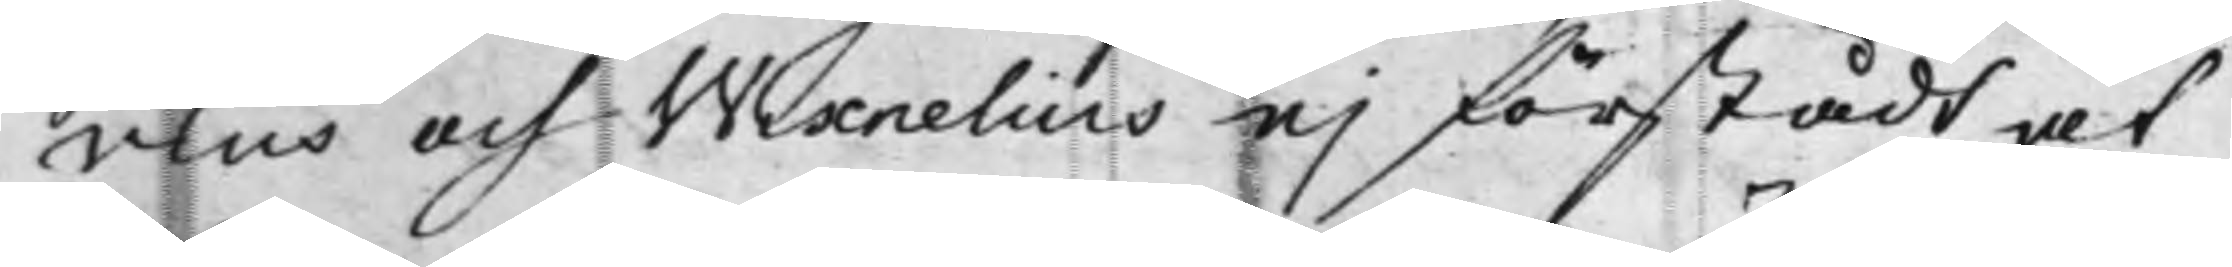vius och Wixnelius ej förstådt at
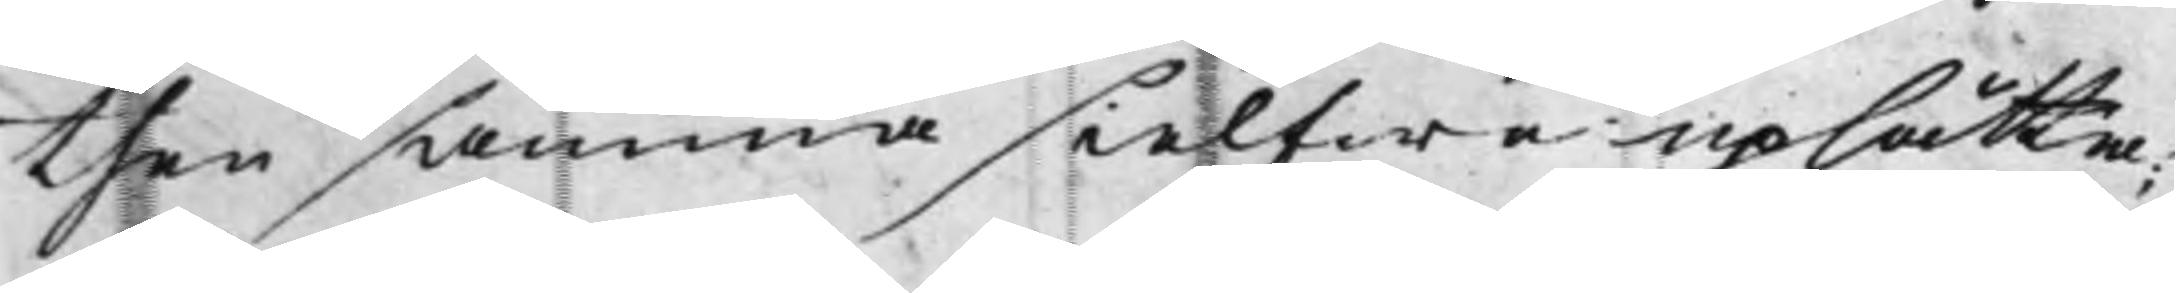then samma sielfwe uplåtta;
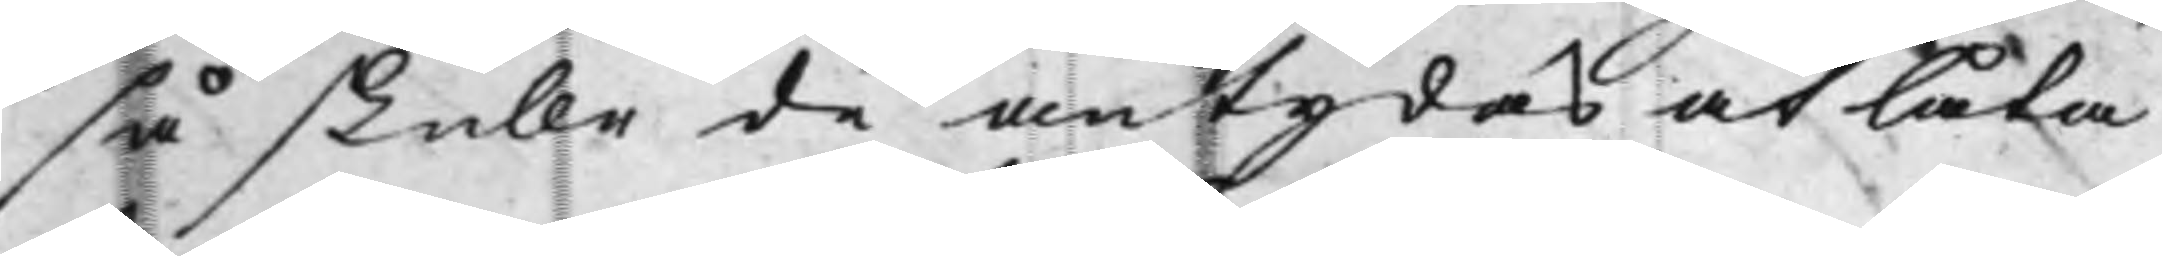så skulle de antydas at låta
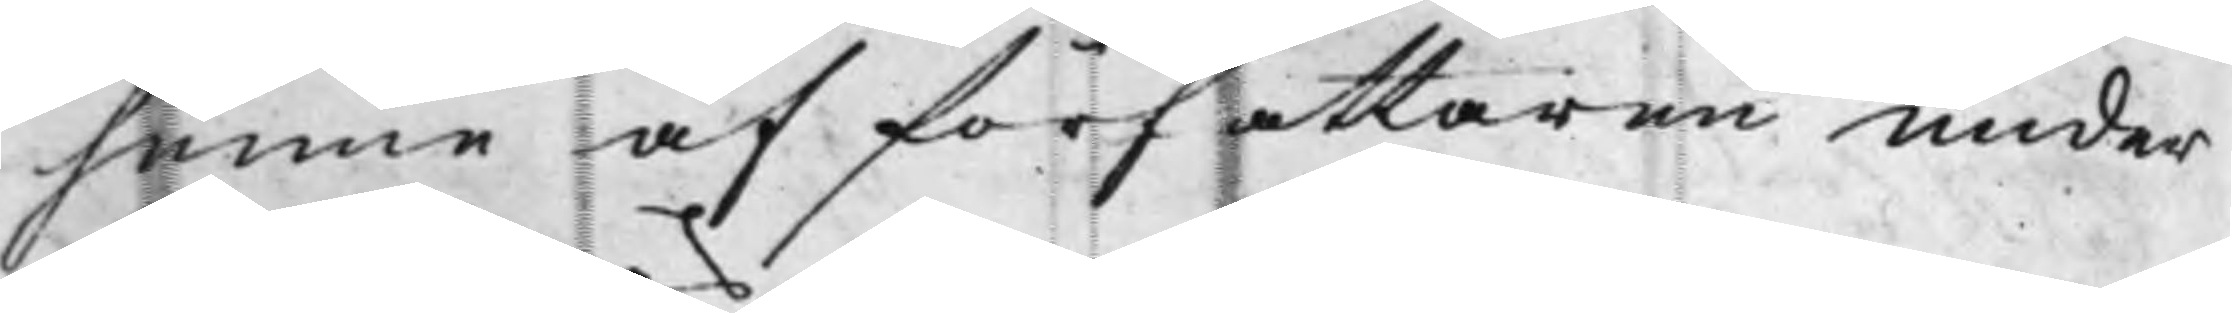henne af författaren under¬
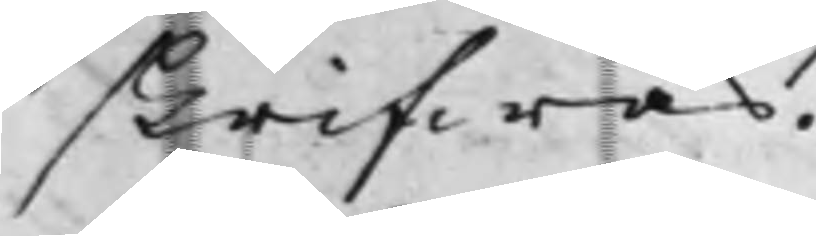skrifwas.
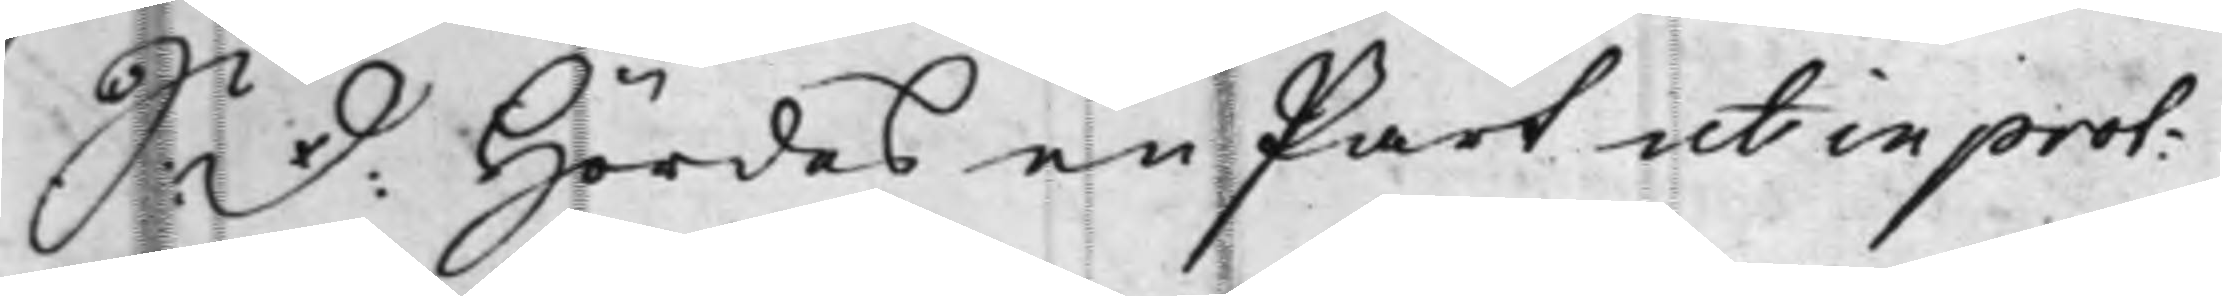S: D: Hördes en Part ut in prot:
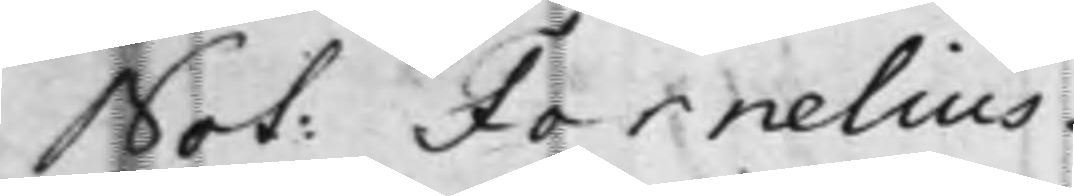Not: Fornelius.
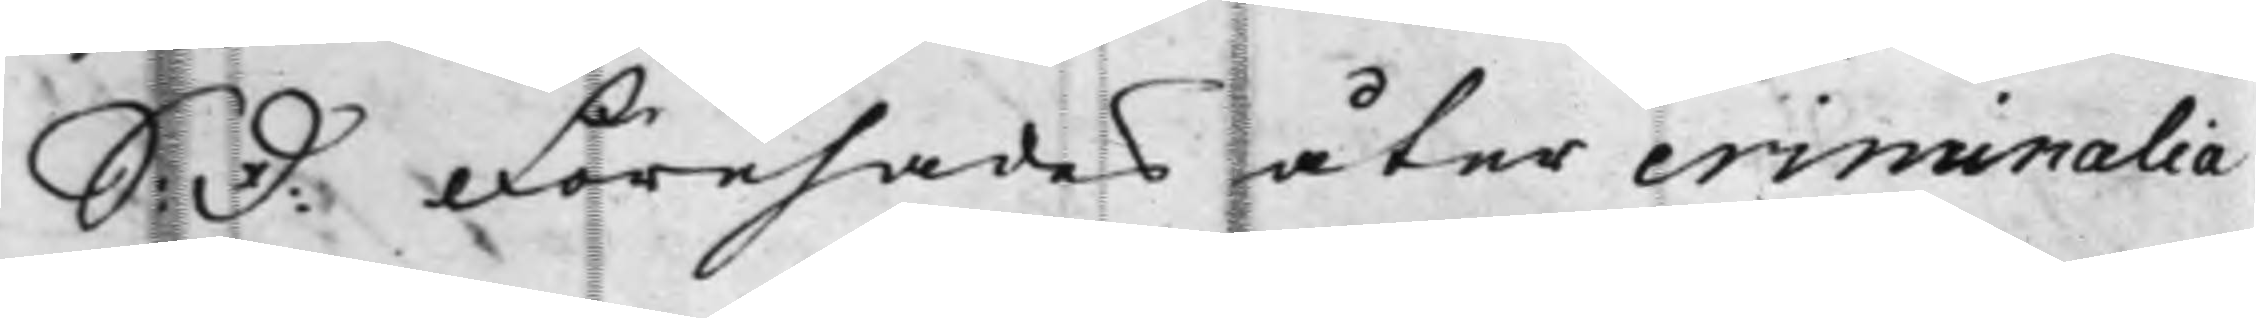S: D: Förehades åter criminalia
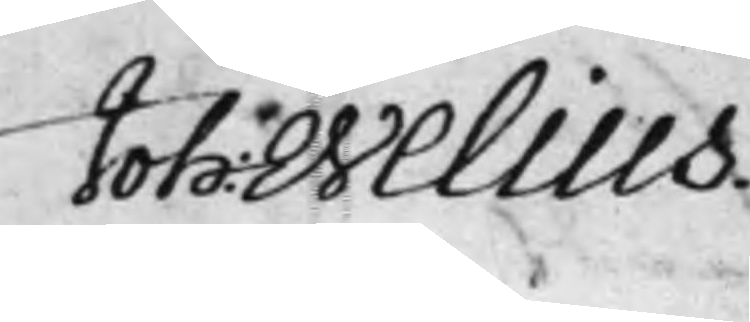Joh: Welius.<
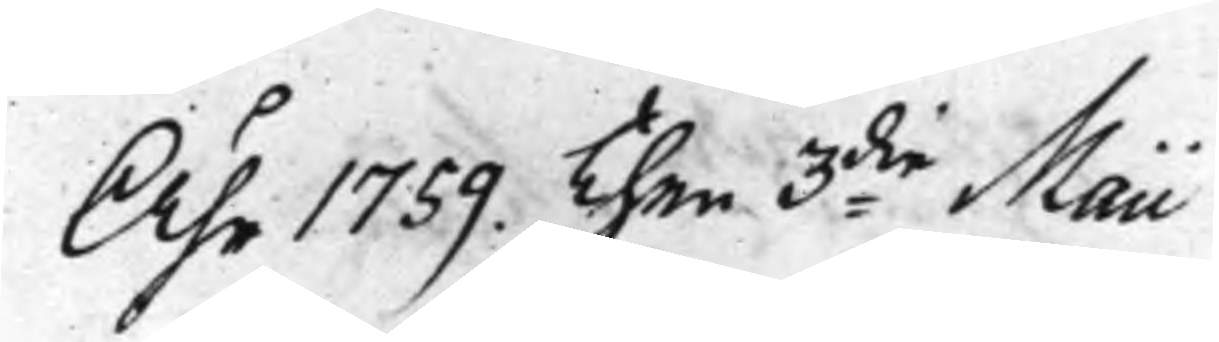Åhr 1759. Then 3die Maii
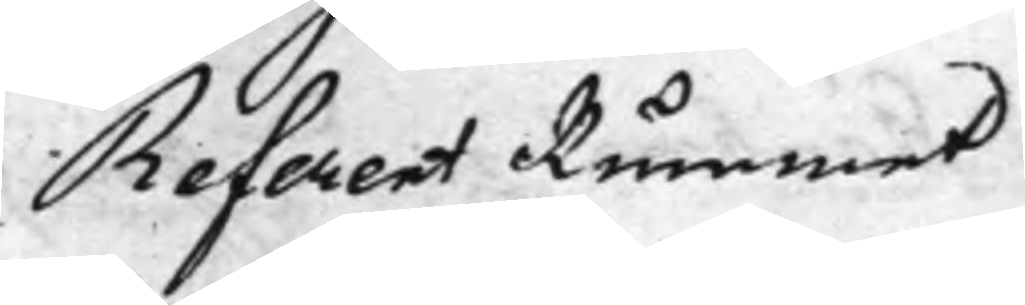Referent Rummet
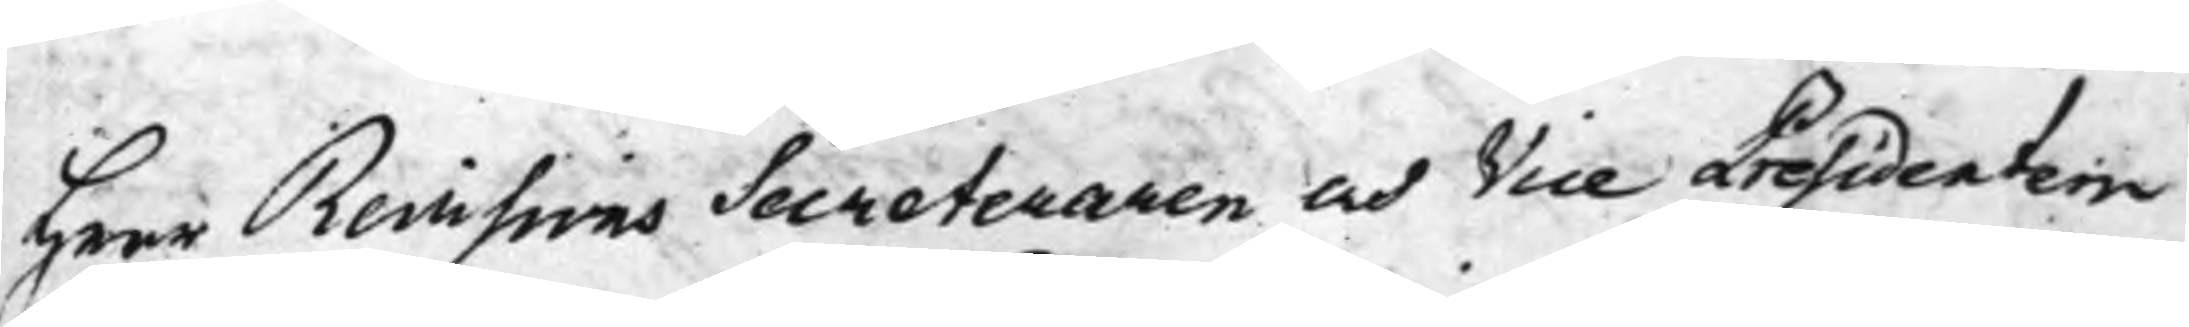Herr Revisions Secreteraren och Vice Presidenten
